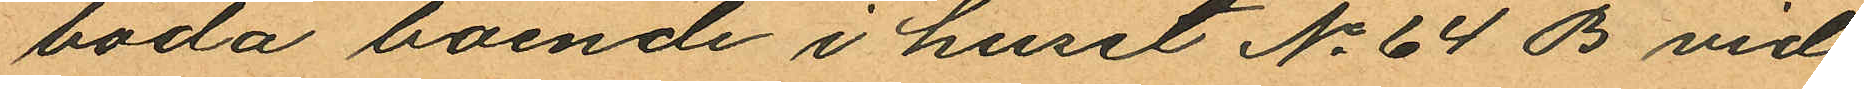båda boende i huset No 64 B vid
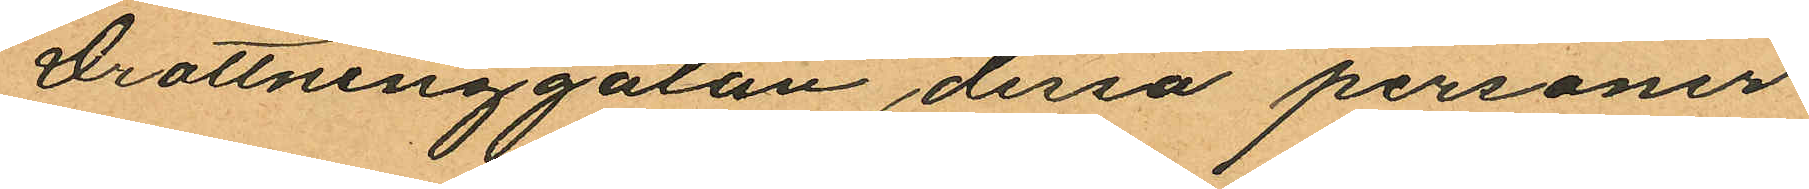Drottninggatan dessa personer
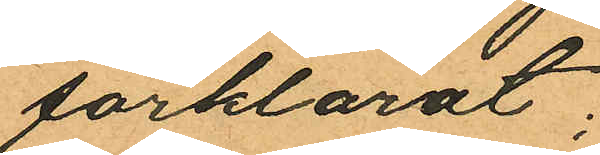förklarat:
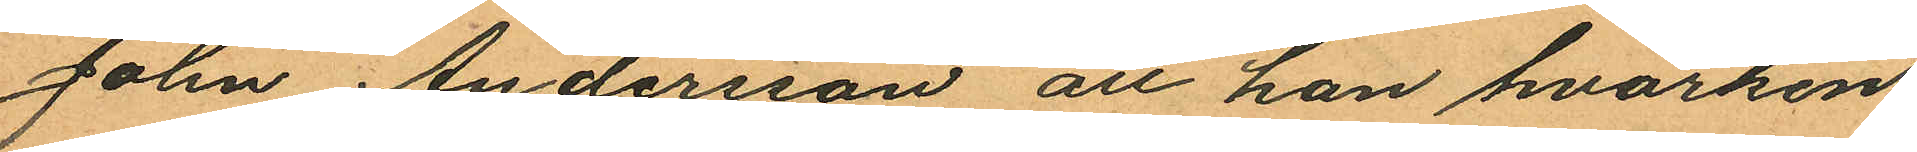John Andersson att han hvarken
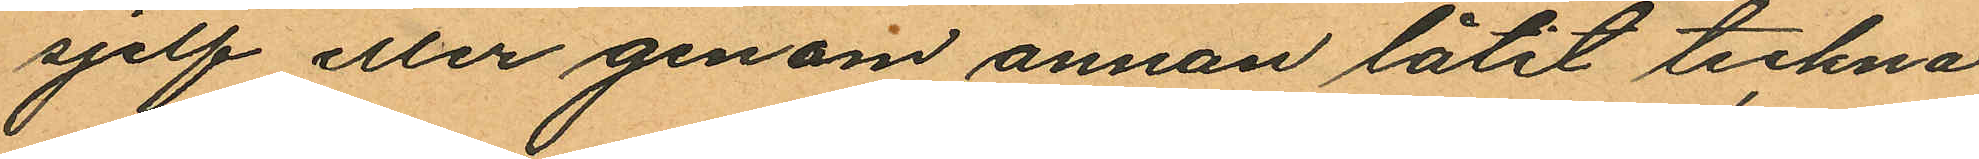sjelf eller genom annan låtit teckna
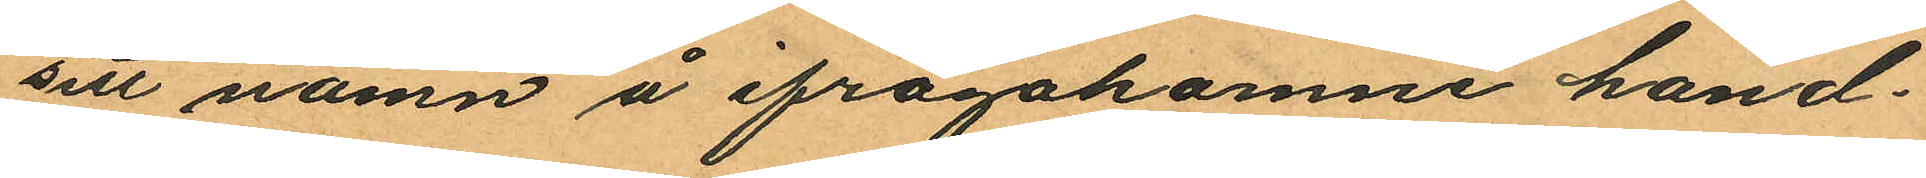sitt namn å ifrågakomne hand¬
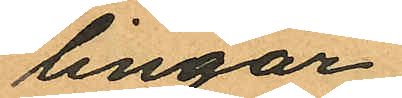lingar,
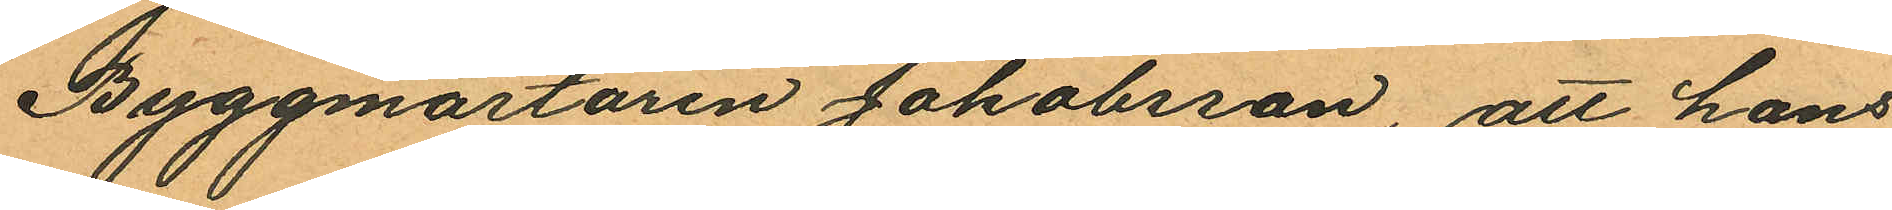Byggmästaren Jakobsson, att hans
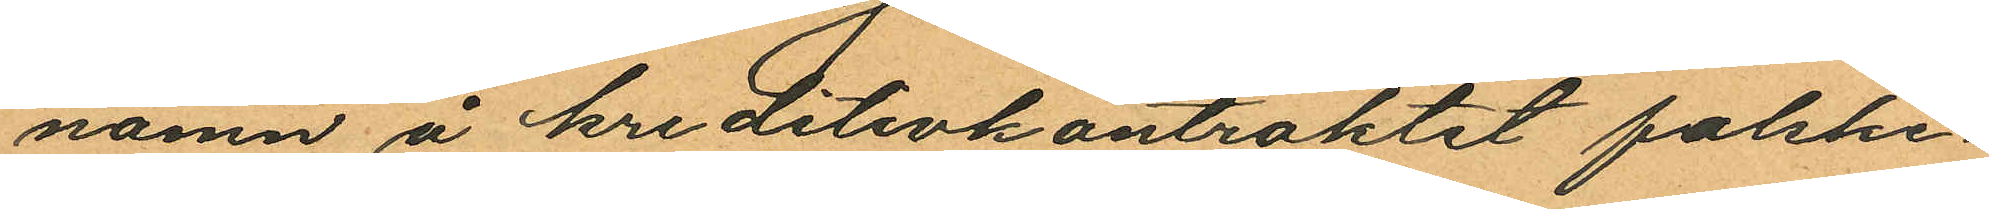namn å kreditivkontraktet falske¬
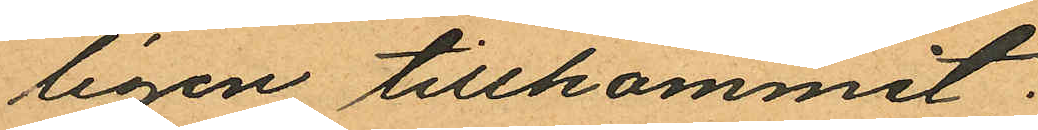ligen tillkommit.
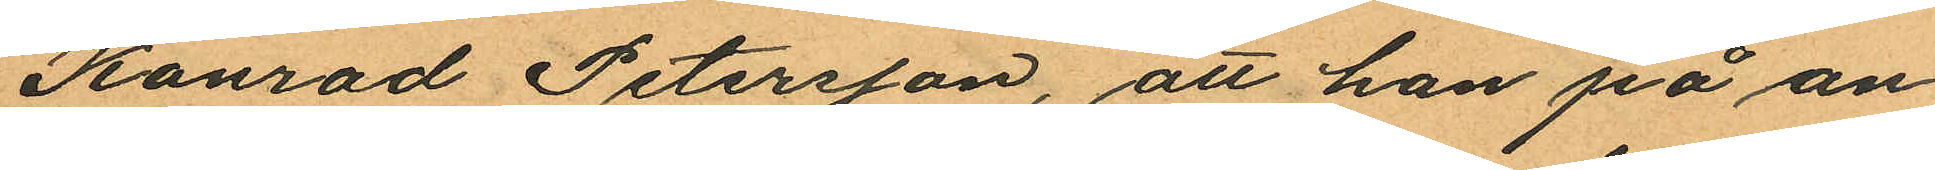Konrad Petersson, att han på an¬
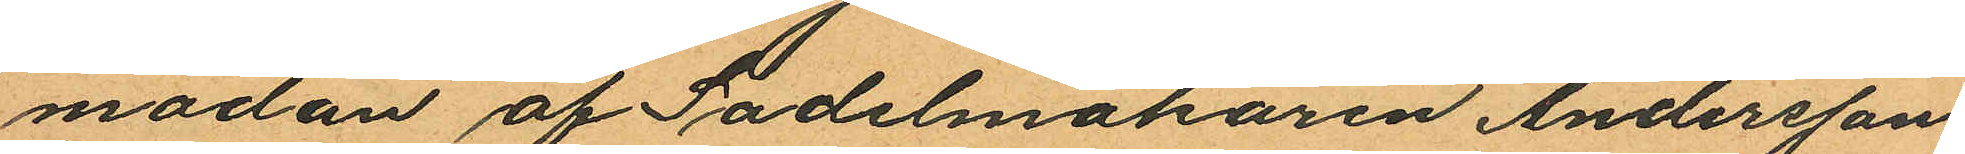modan af Sadelmakaren Andersson
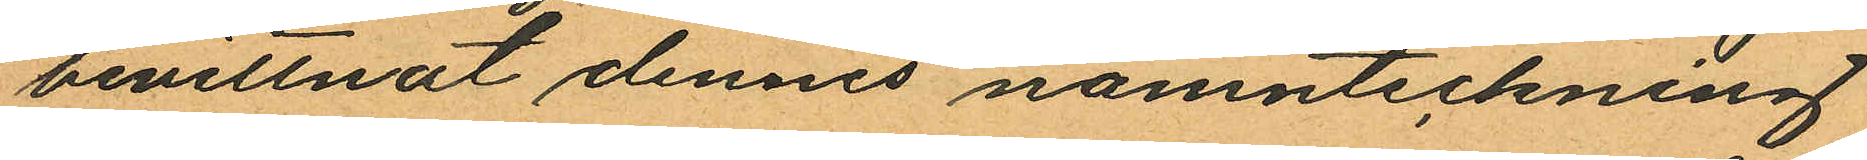bevittnat dennes namnteckning
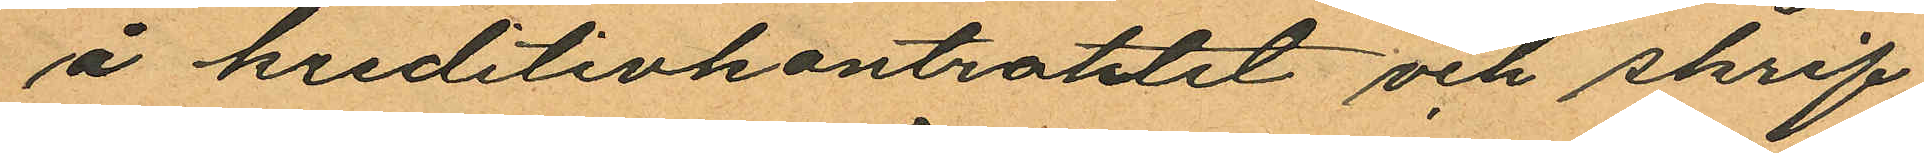å kreditivkontratktet och skrif¬
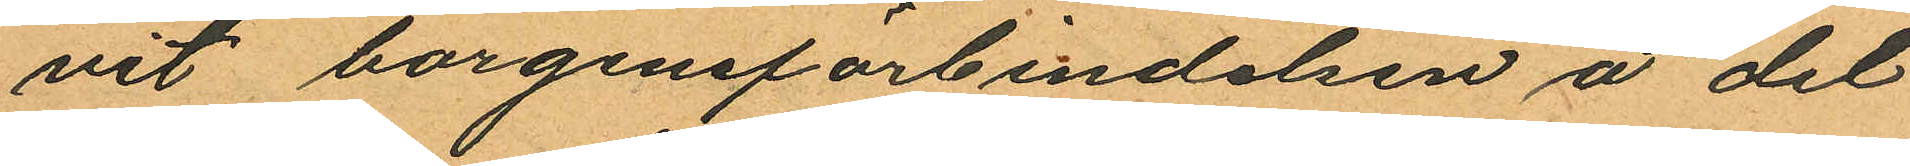vit borgensförbindelsen å det
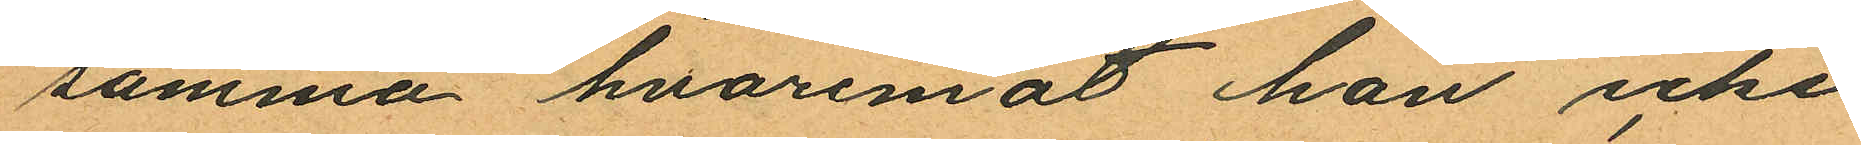samma hvaremot han icke
